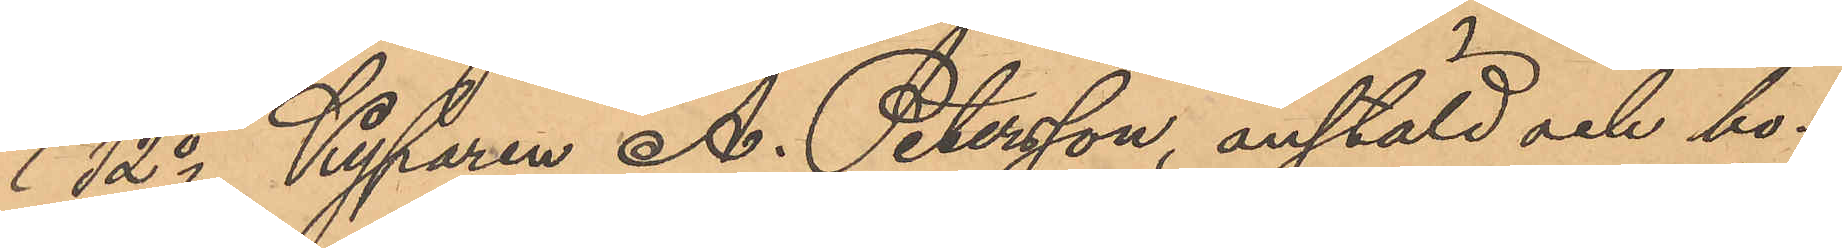12o Kyparen A. Petersson, anstäld och bo¬
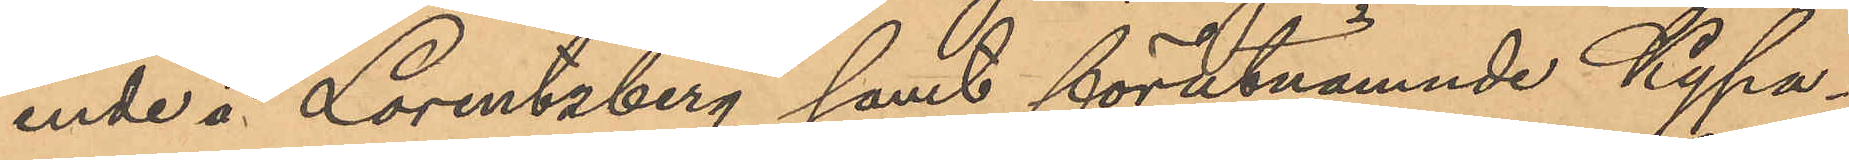ende å Lorentzberg samt förutnämnde Kypa¬
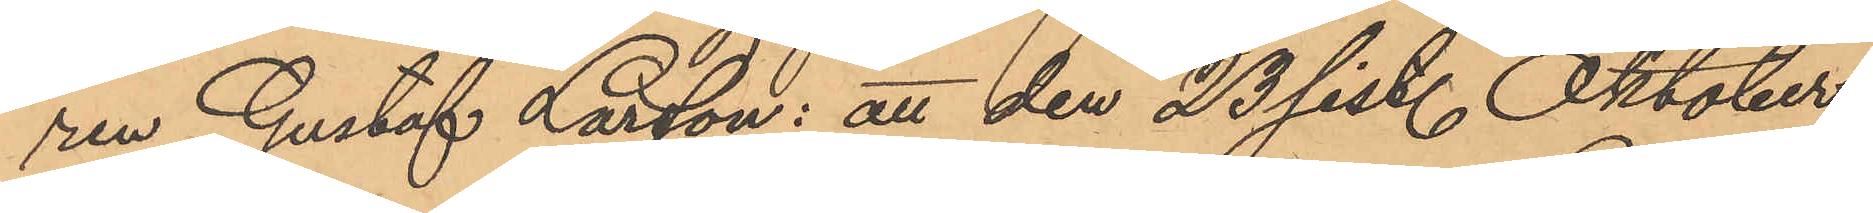ren Gustaf Larsson: att den 23 sist. Oktober
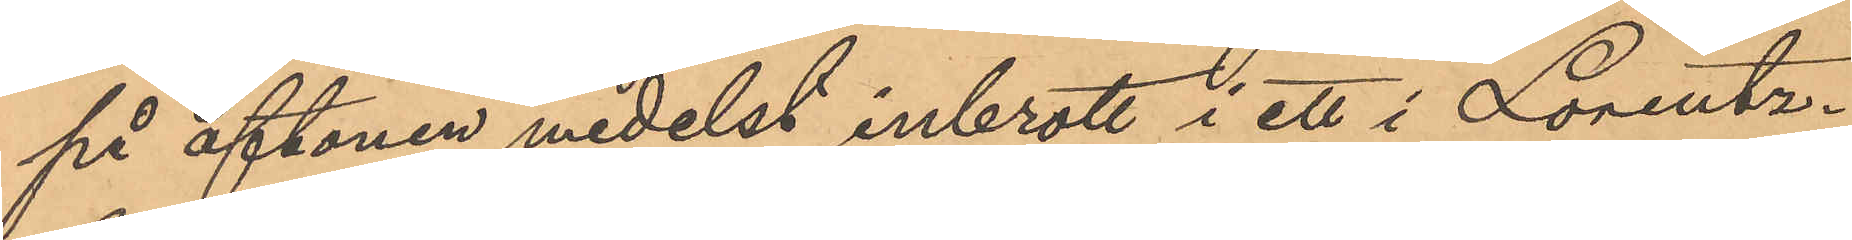på aftonen medelst inbrott i ett i Lorentz¬
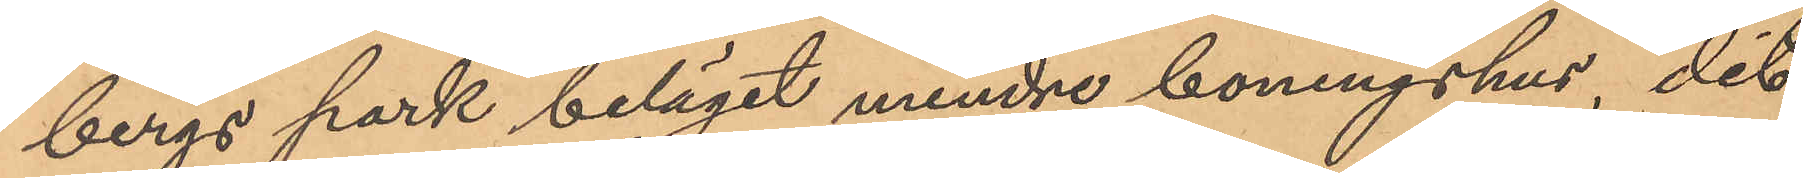bergs park beläget mindre boningshus, dit
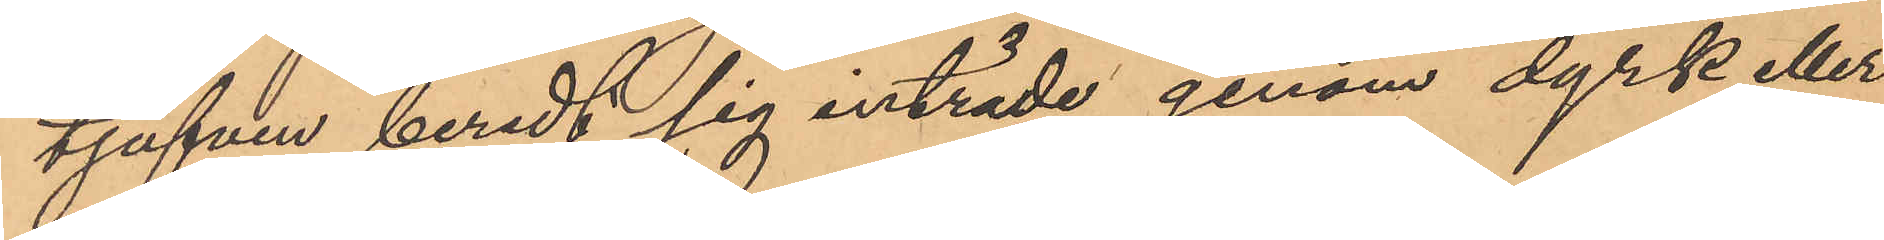tjufven beredt sig inträde genom dyrk eller
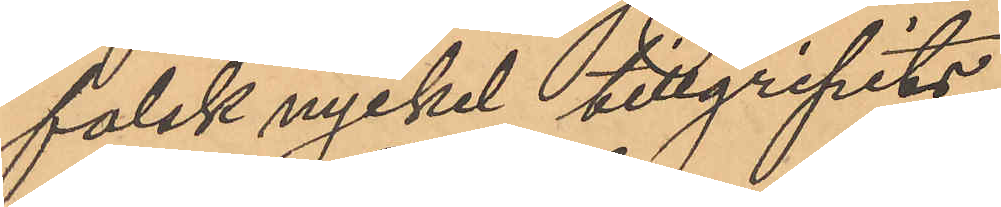falsk nyckel tillgripits,
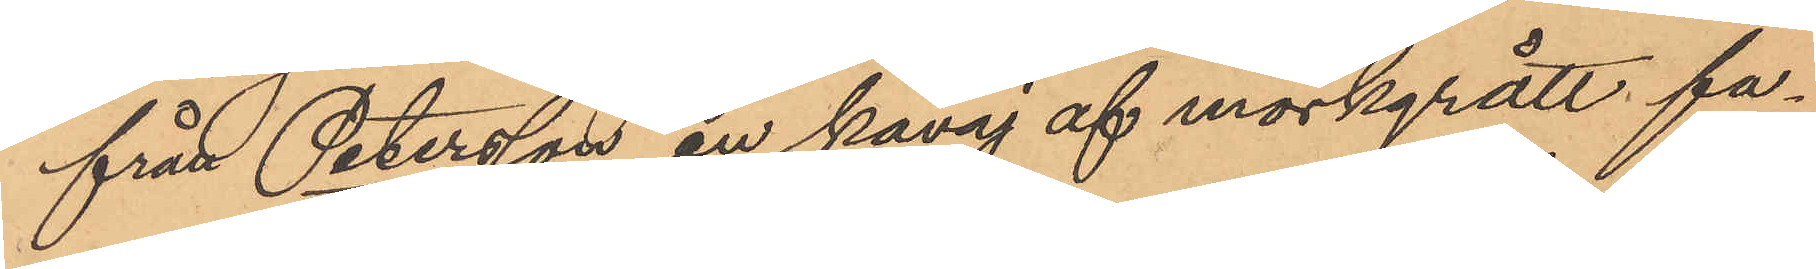från Petersson en kavaj af mörkgrått fa¬
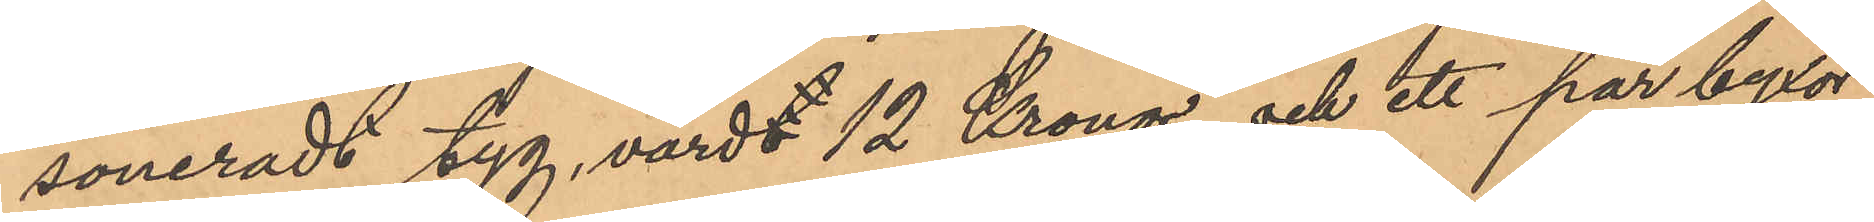soneradt tyg, värdt 12 Kronor, och ett par byxor
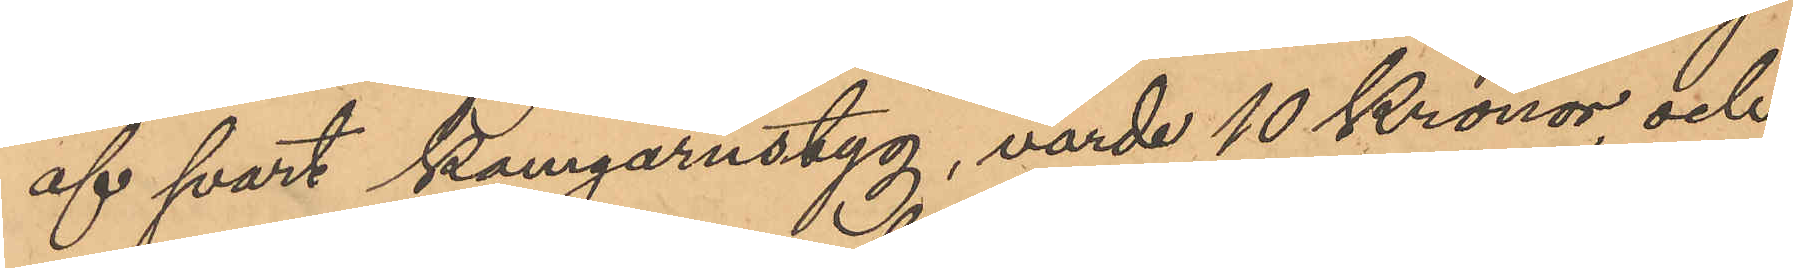af svart kamgarnstyg, värde 10 Kronor, och
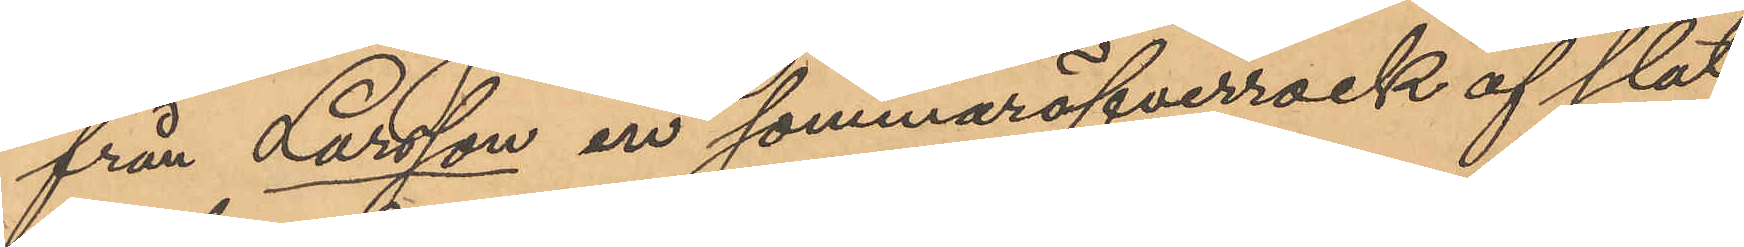från Larsson en sommaröfverrock af slät
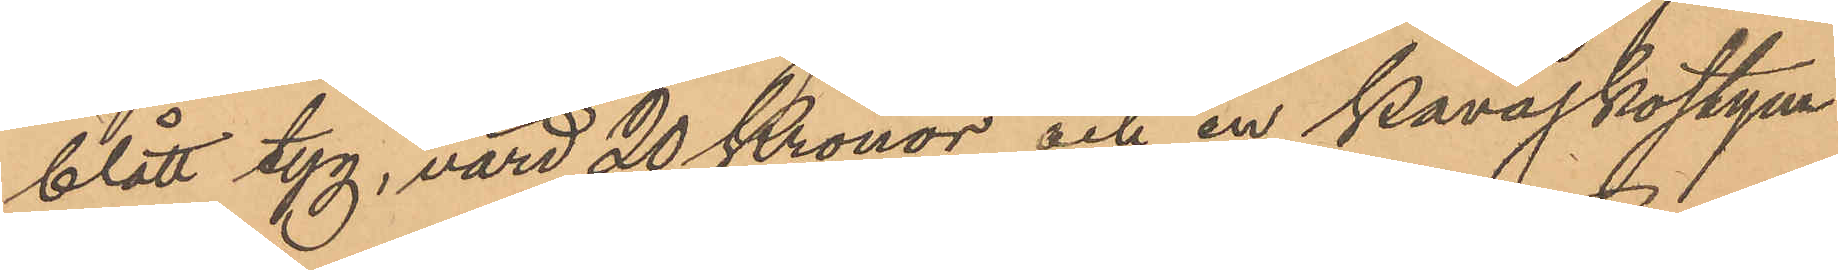blått tyg, värd 20 Kronor och en kavajkostym
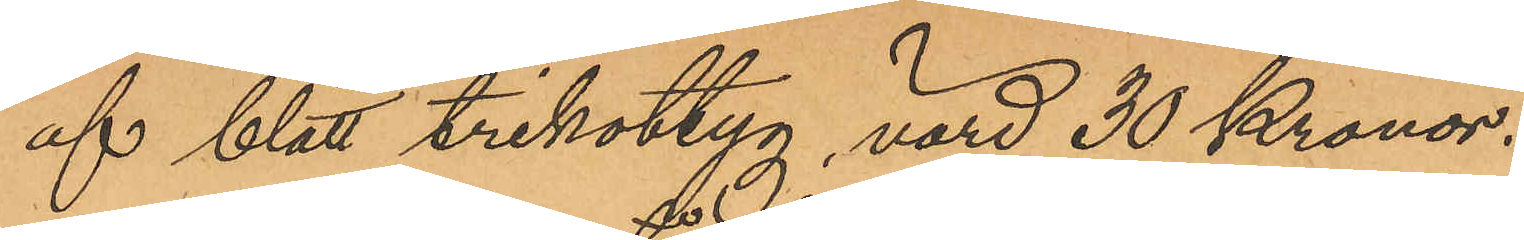af blått trikottyg, värd 30 Kronor.
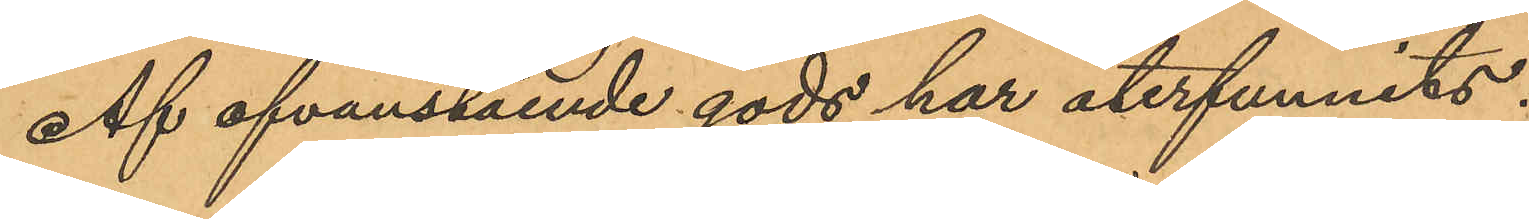Af ofvanstående gods har återfunnits:
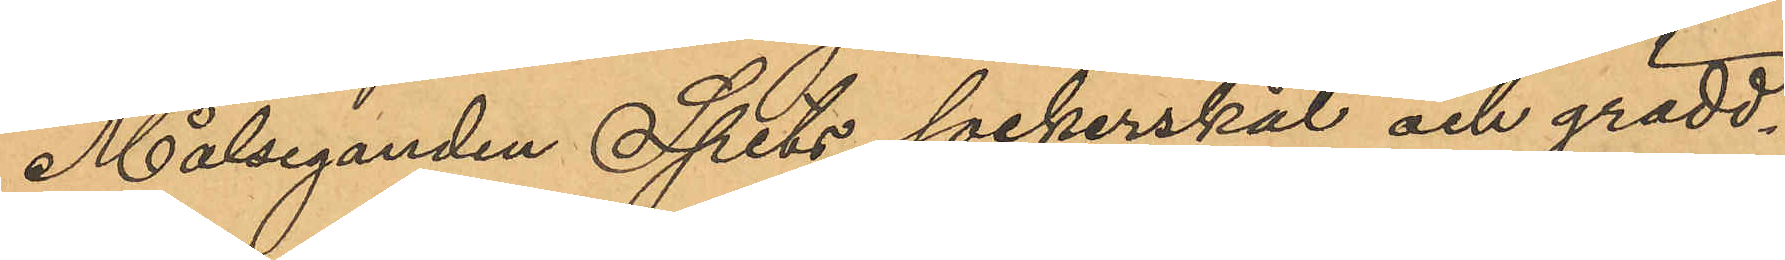Målseganden Spets sockerskål och grädd¬
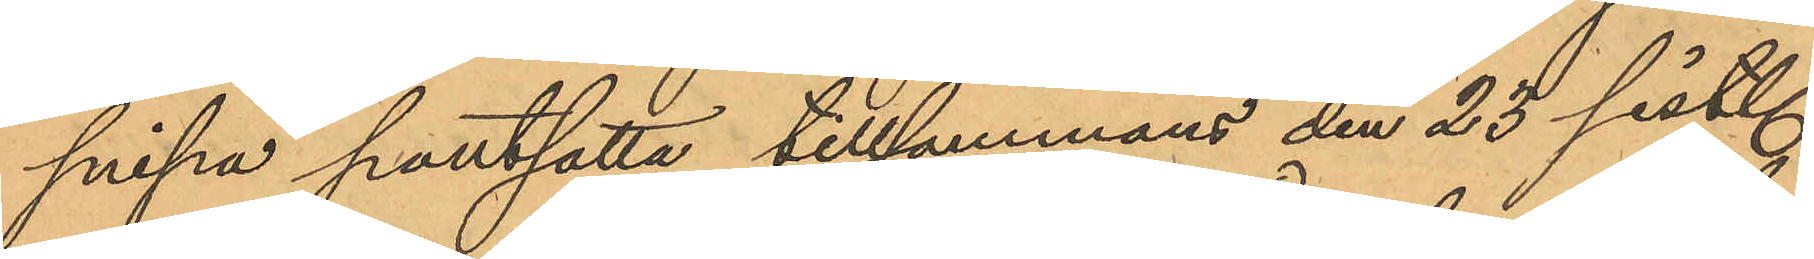snipa pantsatta tillsammans den 23 sist.
